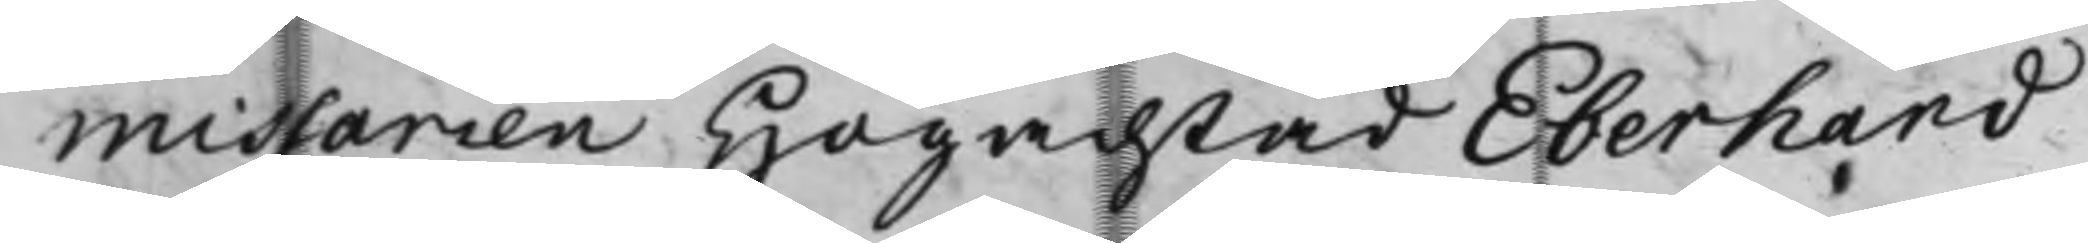midsarien Högachtad Eberhand
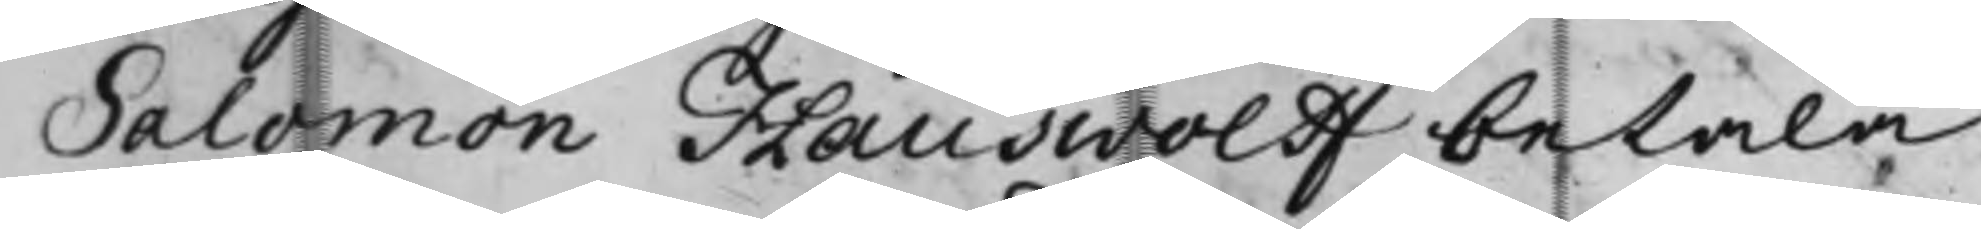Salomon Fauswoldf betala
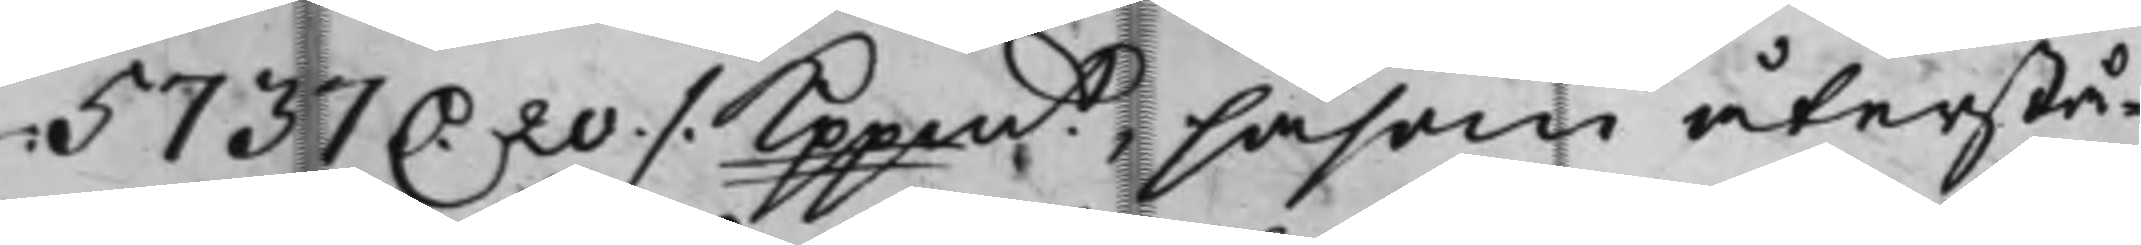5737 D. 20 ./. Kppmt, såsom återste 
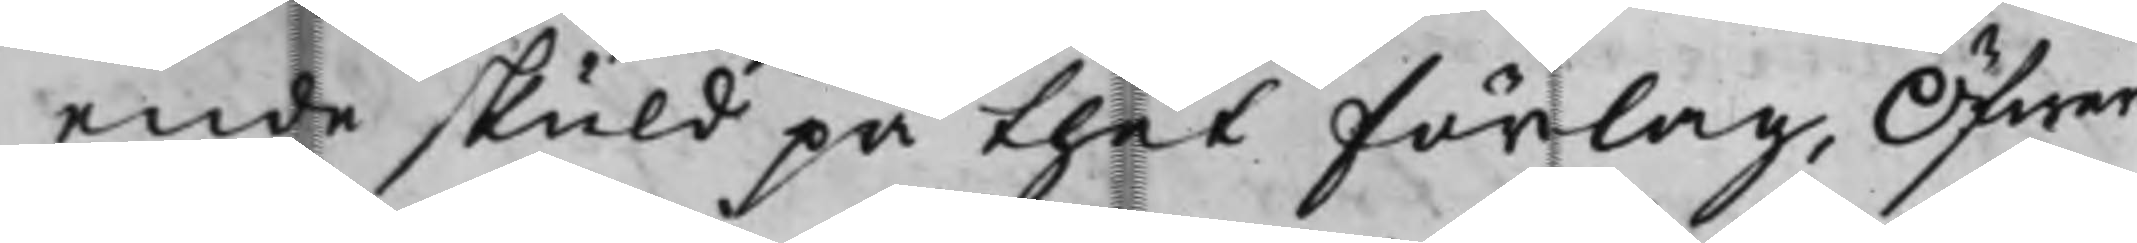ende skuld på thet förlag, Öfwer
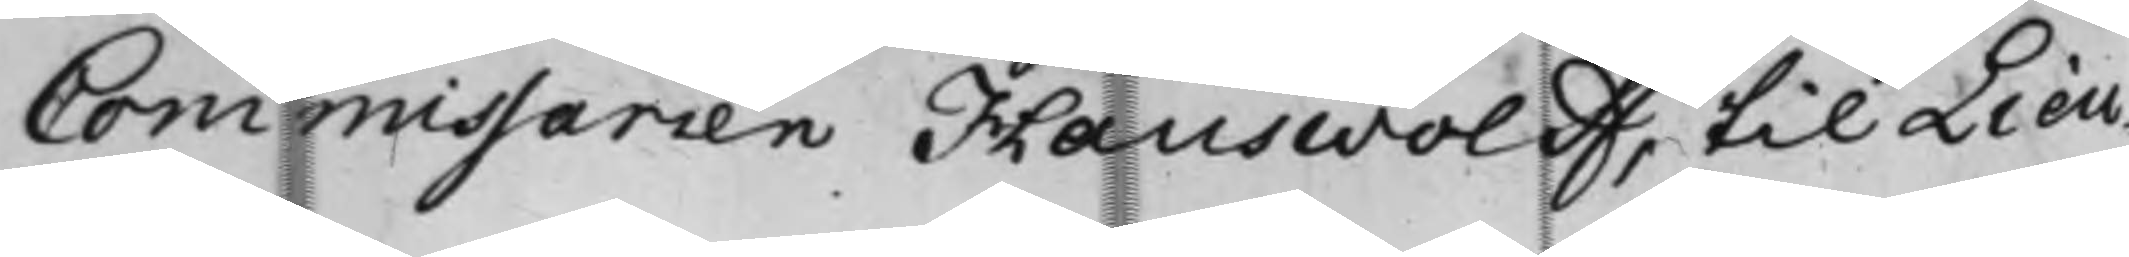Commissarien Hauswolff, till Lieu¬
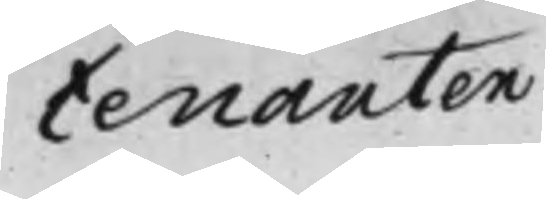tenanten
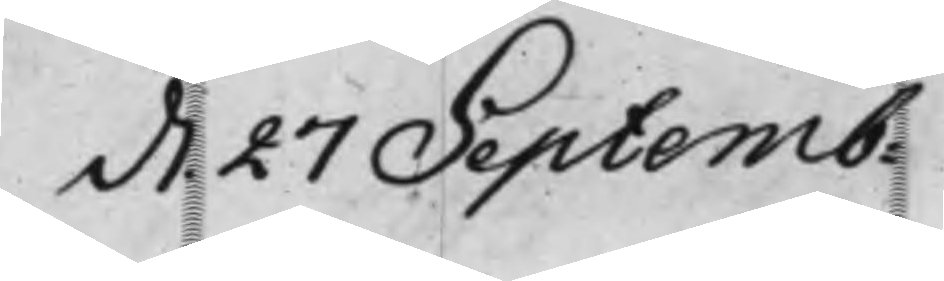d.7 Scpbem. 
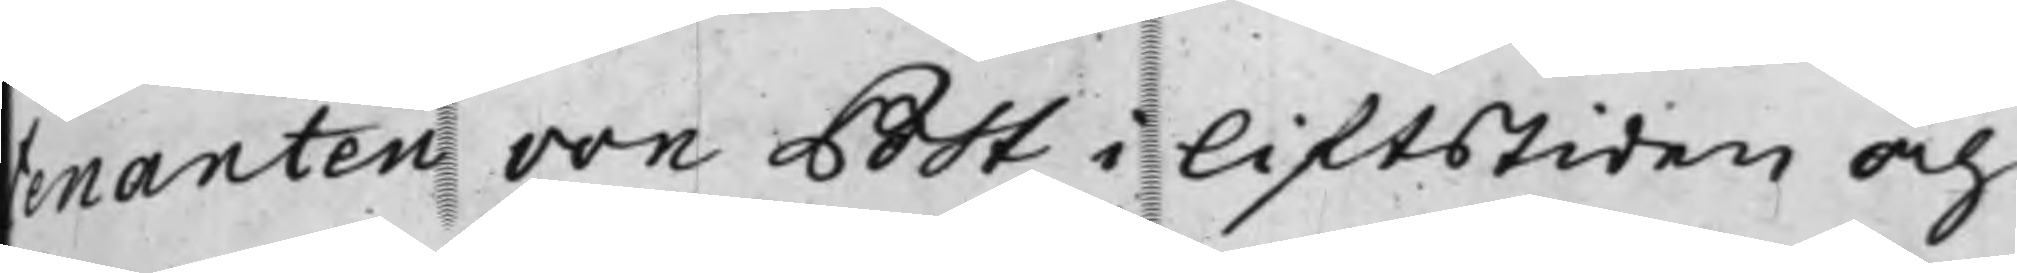enanten von Pot i liftstiden och
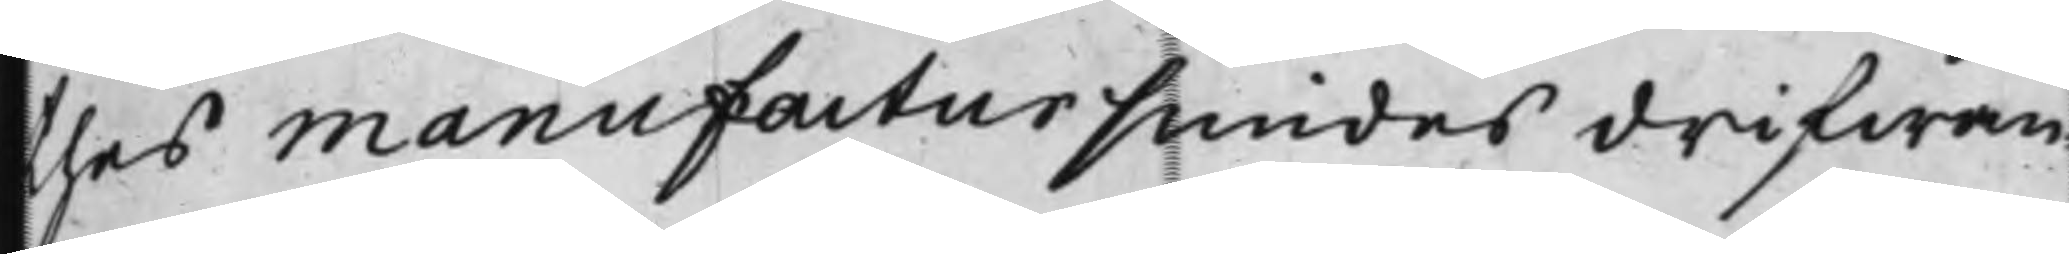thes manuffactur hundes drifwan¬
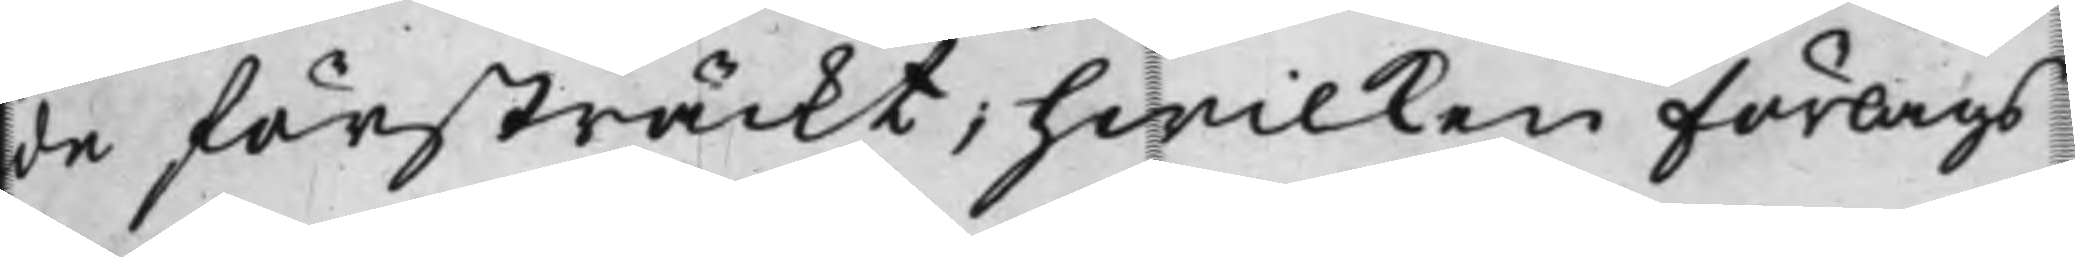de försträckt, hwilken förlags
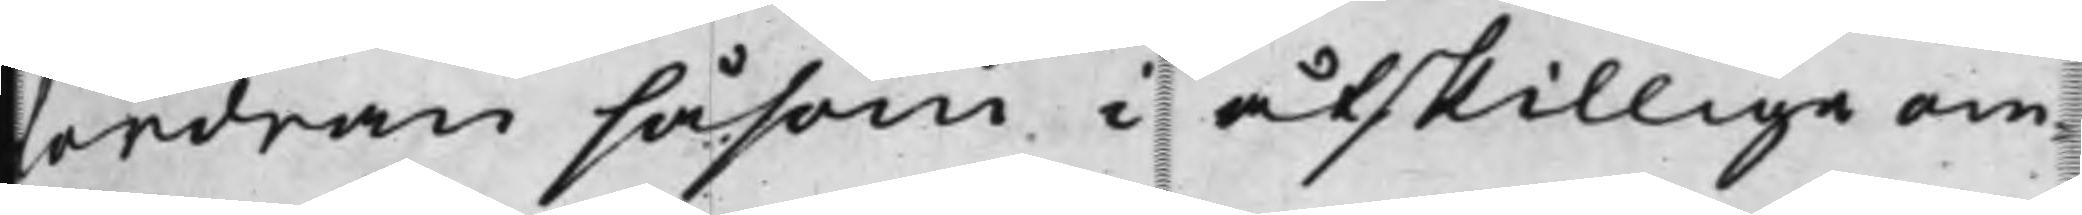fordran såsom i åtskillige om¬
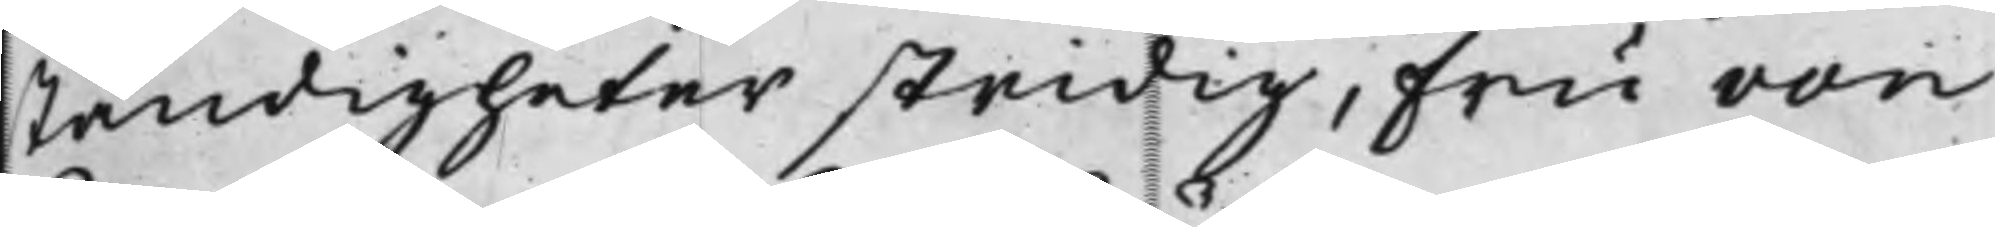Ständigheter stridig, Fru von
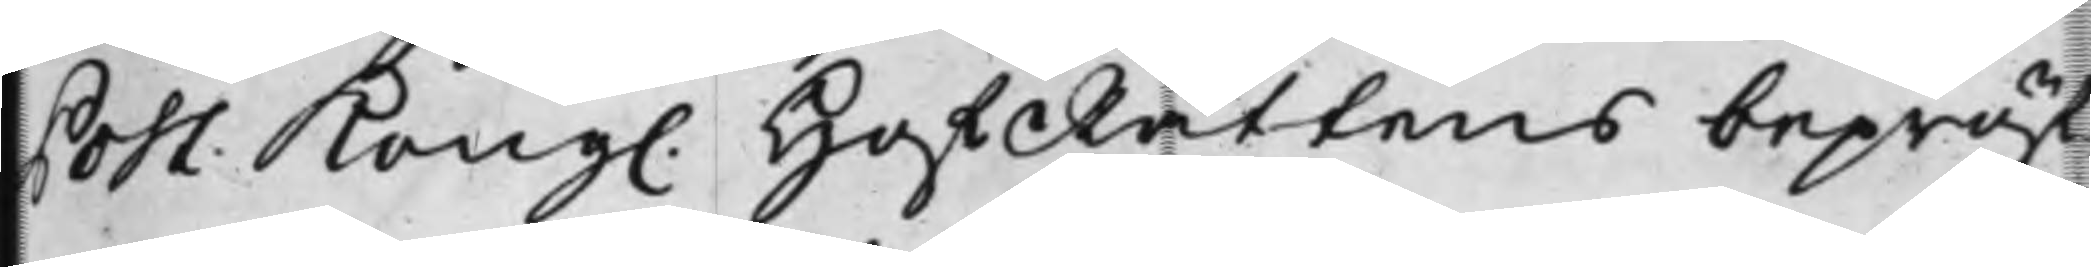Post: Kong. HoffRättens bepröd¬ 
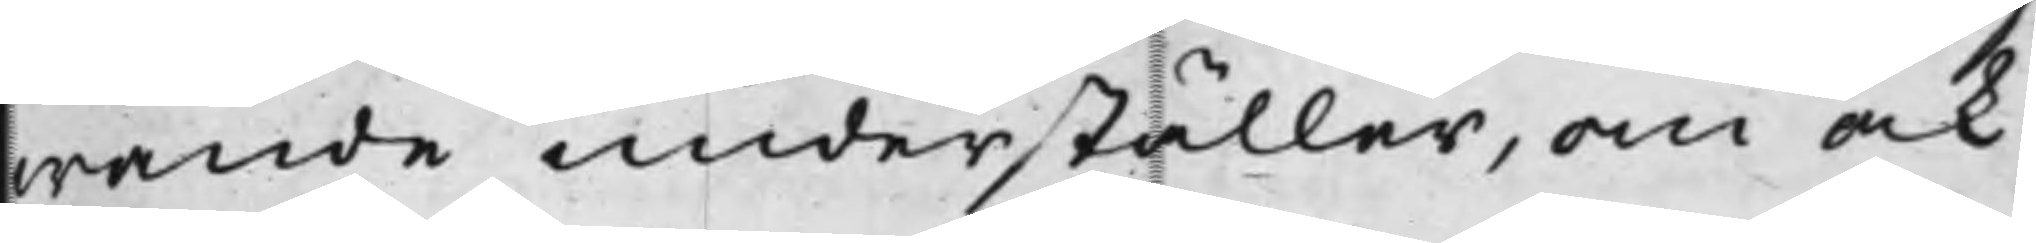wande underställer, om ock
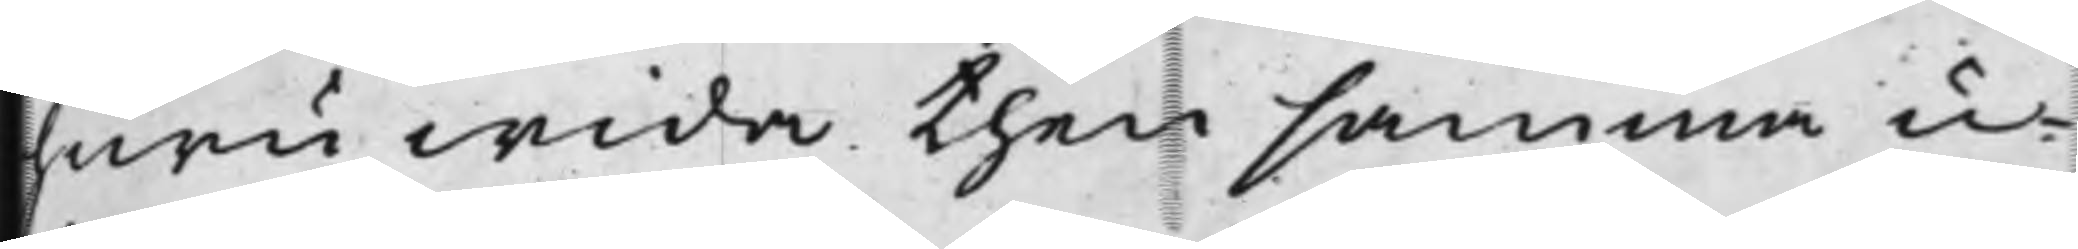huru wida then samma u¬
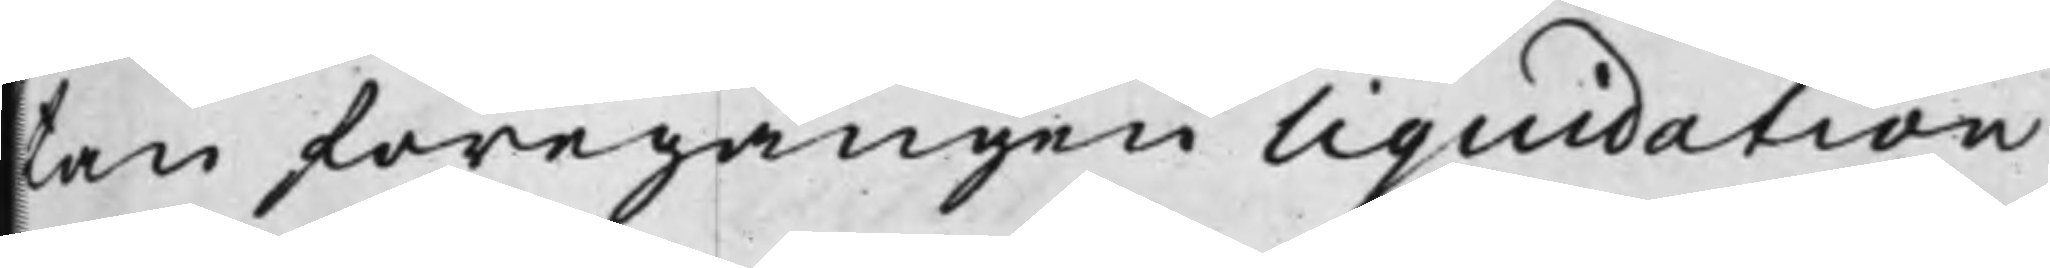kan föregången Liquidation
